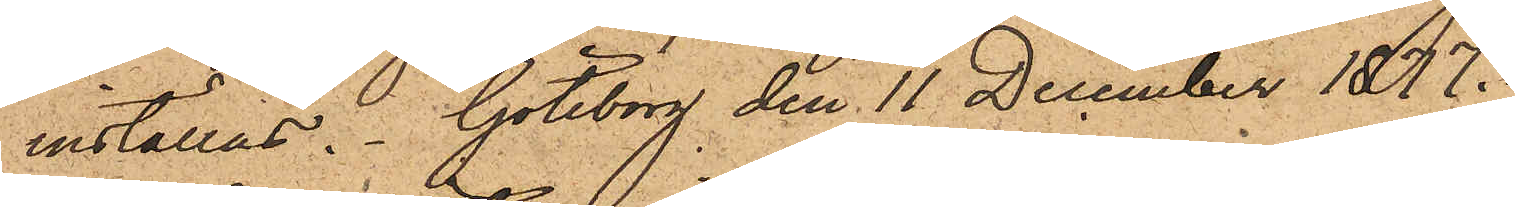inställas. Göteborg den 11 December 1877.
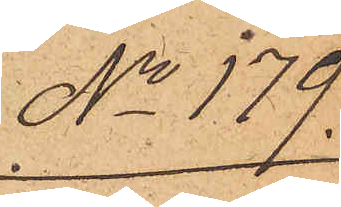No 179
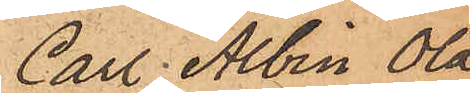Carl Albin Ola¬
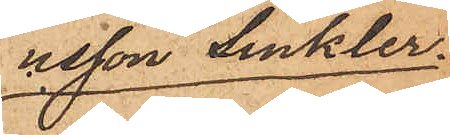usson Sinkler.
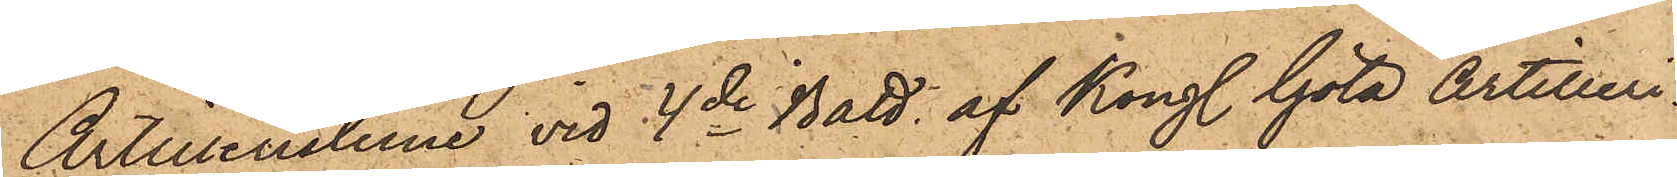Artilleristerne vid 4de Batt. af Kongl. Göta Artilleri¬
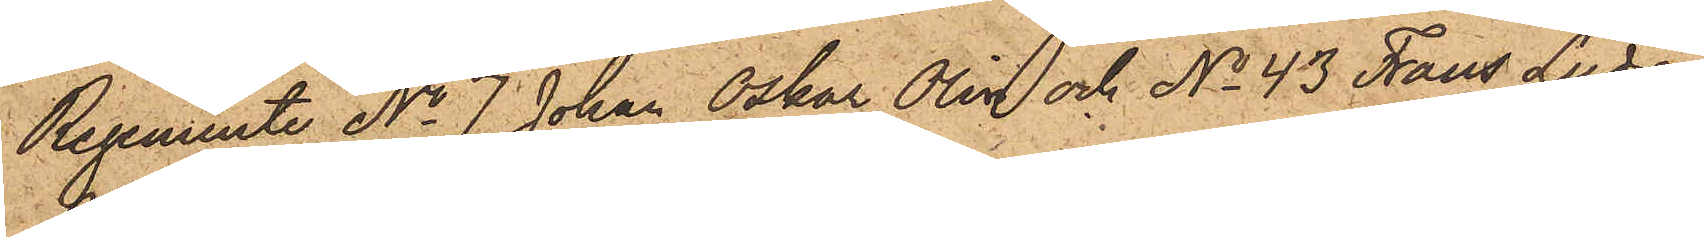Regemente No 7 Johan Oskar Olin och No 43 Frans Ludvig
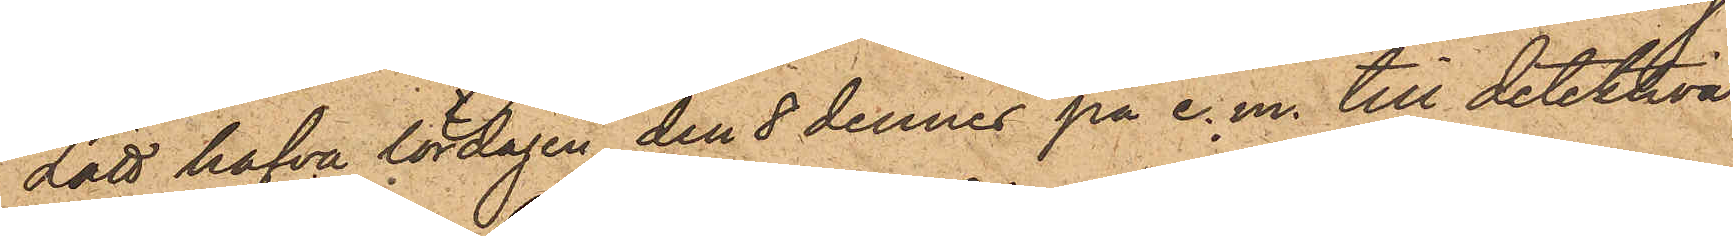Lätt hafva lördagen den 8 dennes på e. m. till detektiva
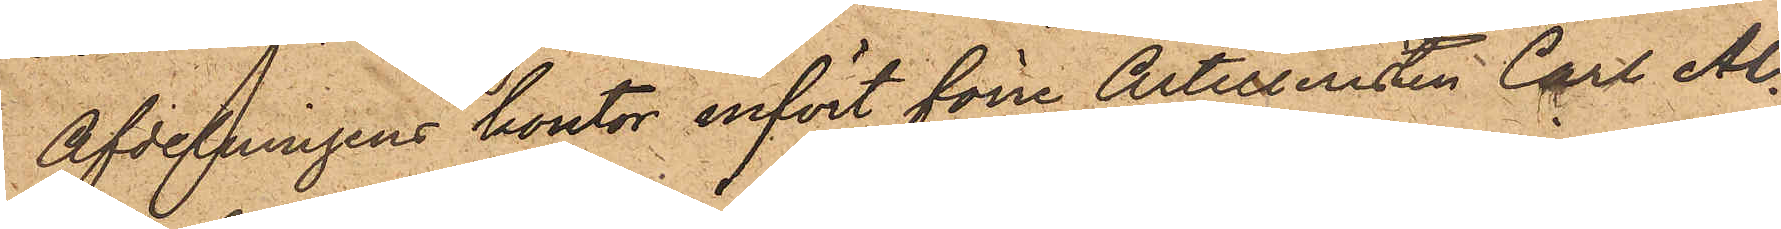Afdelningens kontor infört förre Artilleristen Carl Al¬
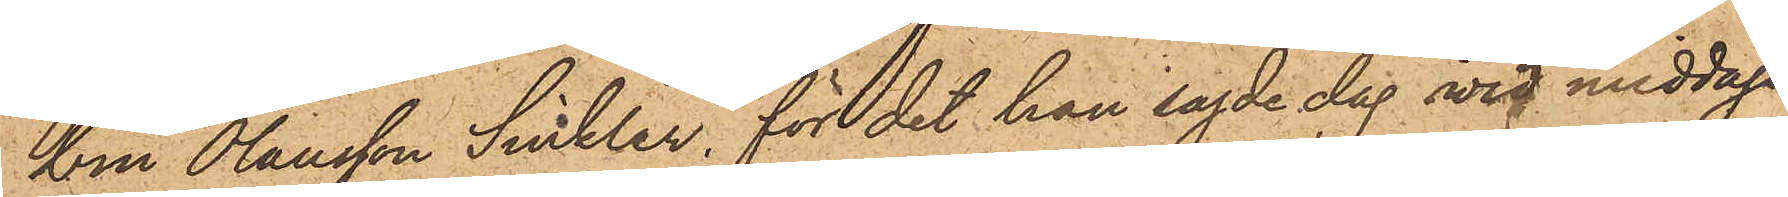bin Olausson Sinkler, för det han sagde dag vid middags¬
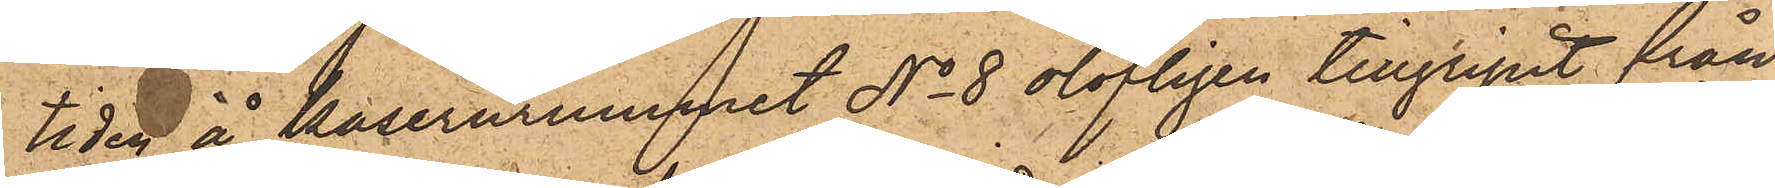tiden å kasernrummet No 8 olofligen tillgripit från
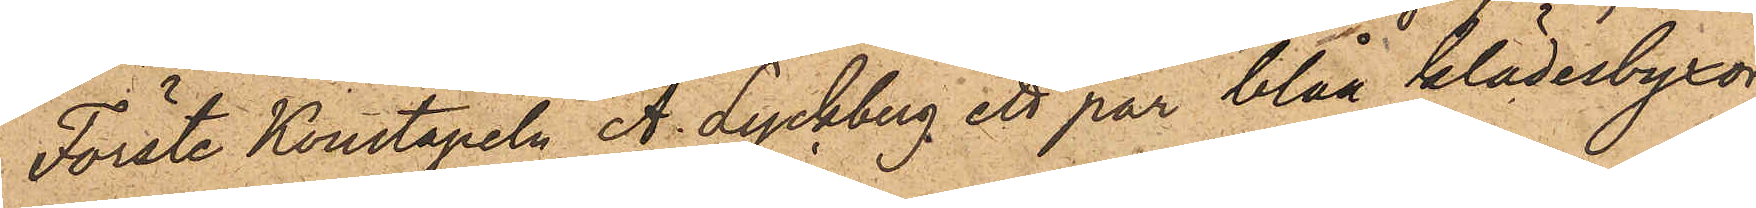Förste Konstapeln A. Lyckberg ett par blåa klädesbyxor
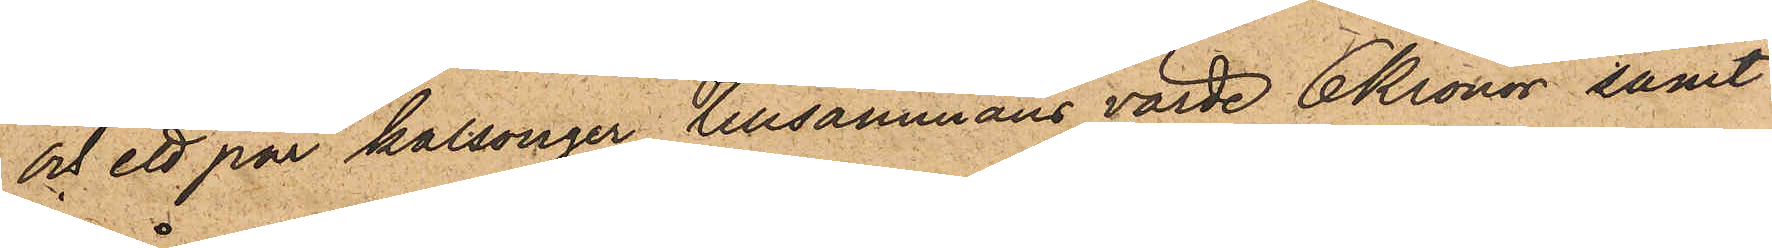och ett par kalsonger tillsammans värde 6 Kronor, samt
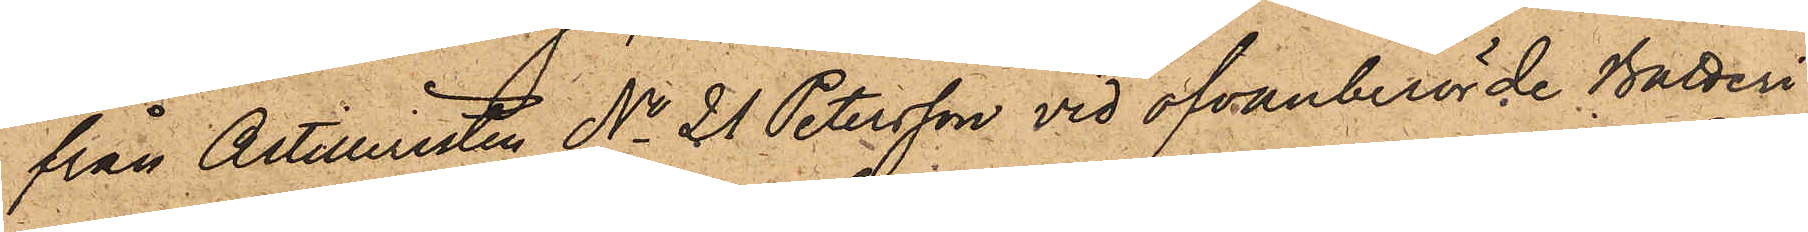från Artilleristen No 21 Petersson vid ofvanberörde Batteri
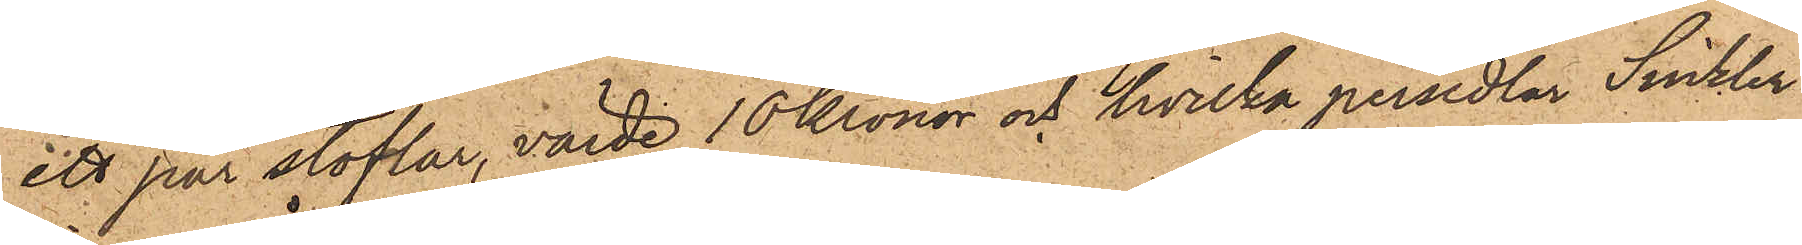ett par stöflar, värde 10 Kronor och hvilka persedlar Sinkler
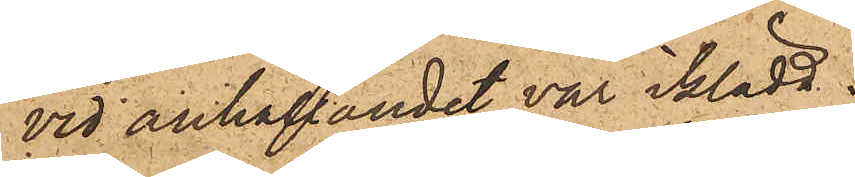vid anhållandet var iklädd.
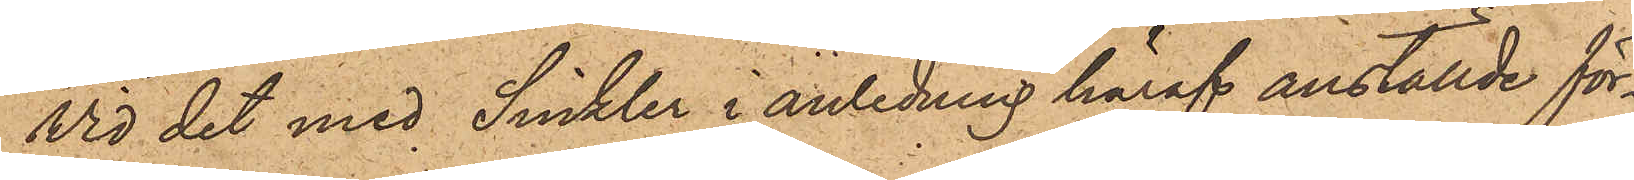Vid det med Sinkler i anledning häraf anställde för¬
